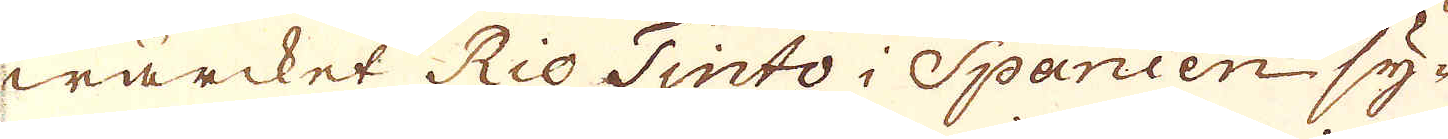wärcket Rio Tinto i Spanien sy-
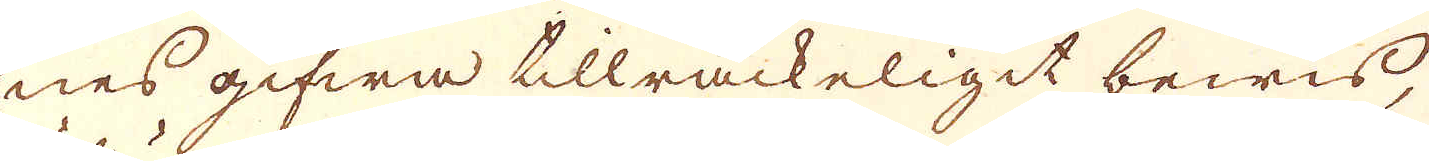nes gifwa tillräckeligit bewis,
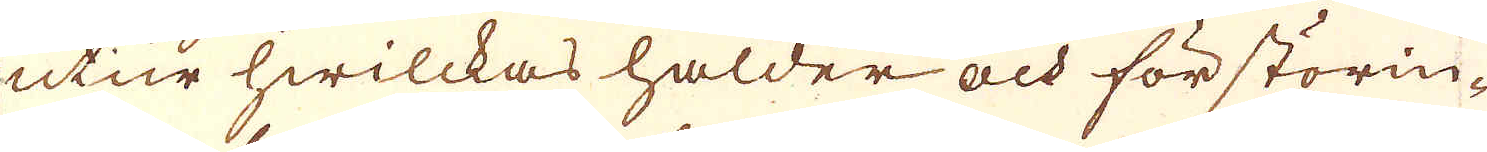utur hwilckas halder och förstörin-
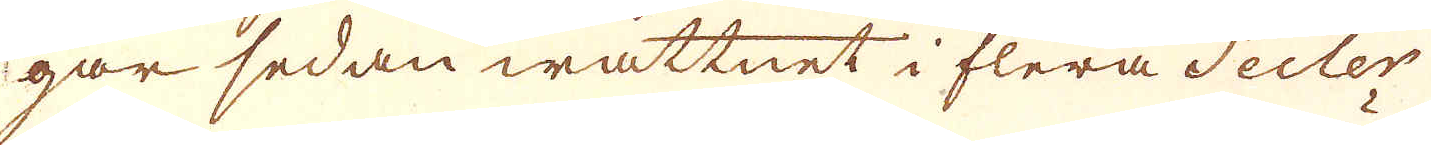gar sedan wattnet i flera Secler
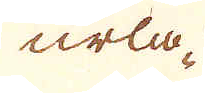urla-
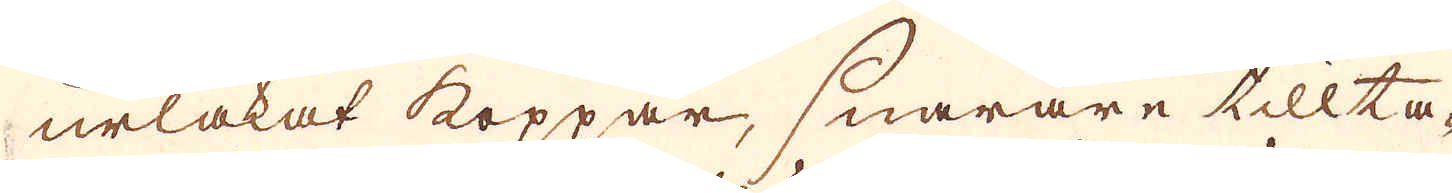urlakat koppar, snarare tillta-
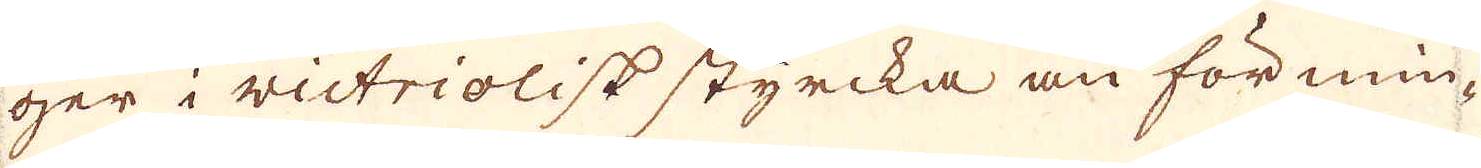ger i victriolisk styrcka än förmin-
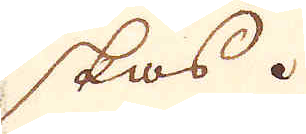skas.
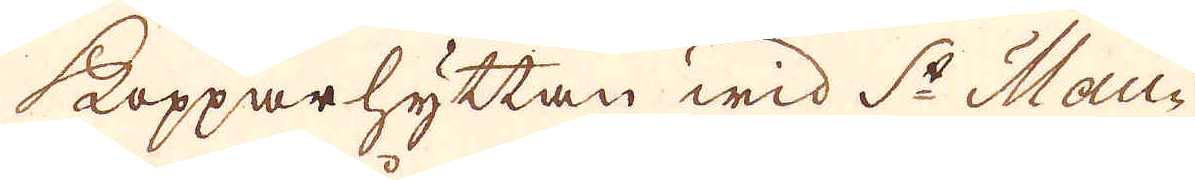Kopparhyttan wid S:t Mau-
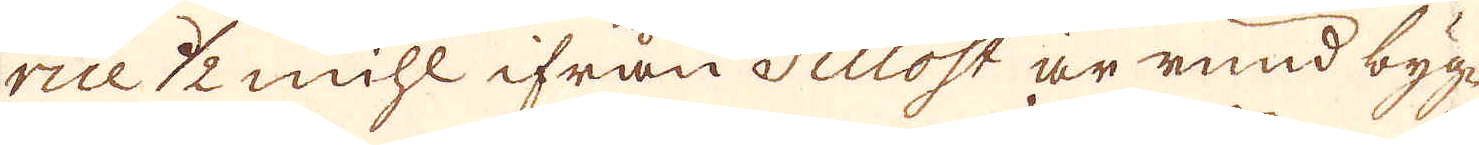rice 1/2 mihl ifrån Tillost är rund byg-
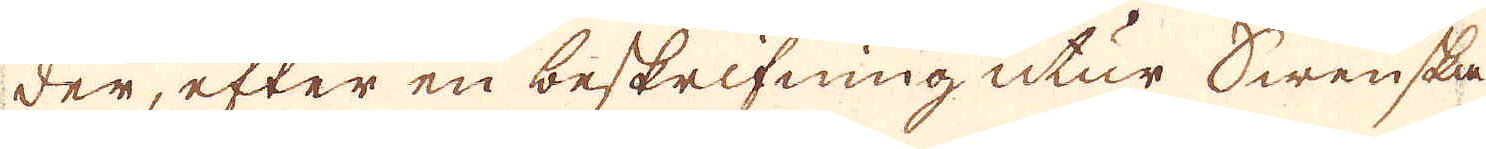der, efter en beskrifning utur Swenska
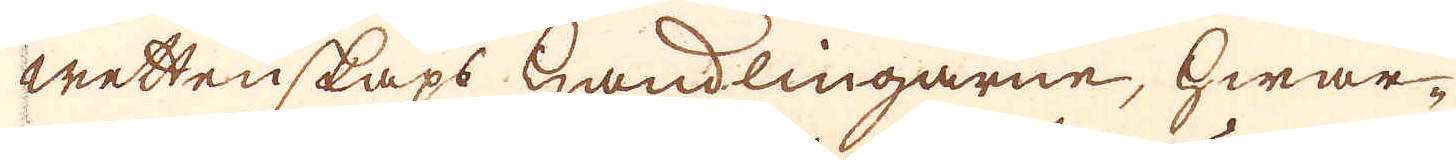wettenskaps handlingarne, hwar-
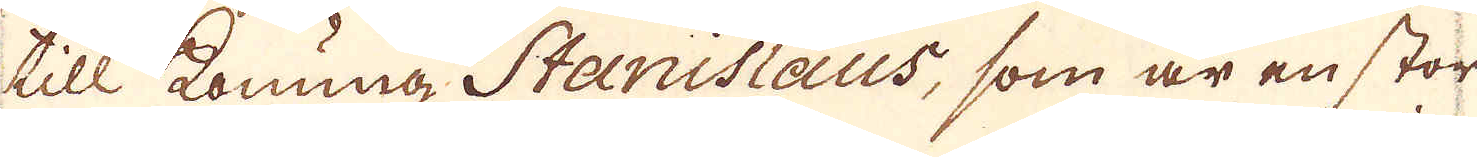till Konung Stanislaus, som är en stor
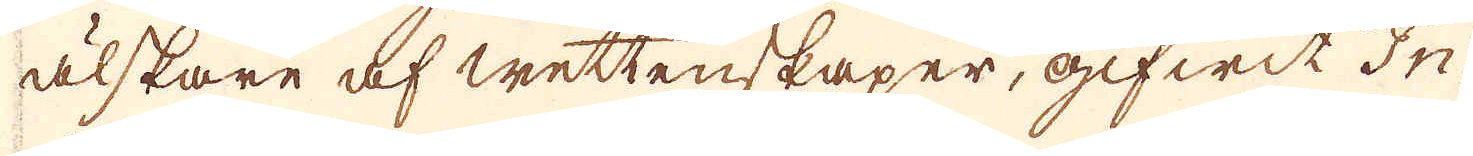älskare af wettenskaper, gifwit In-
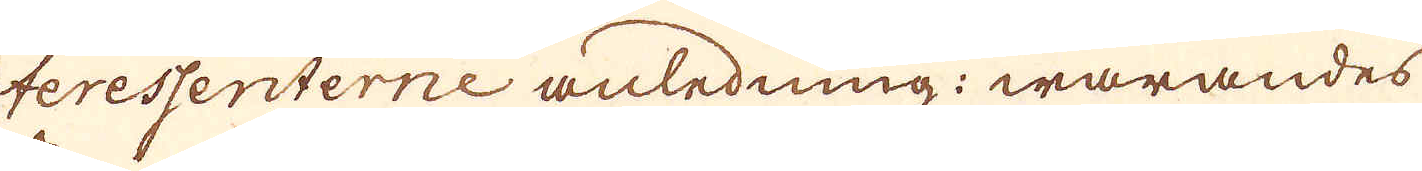teressenterne anledning: warandes
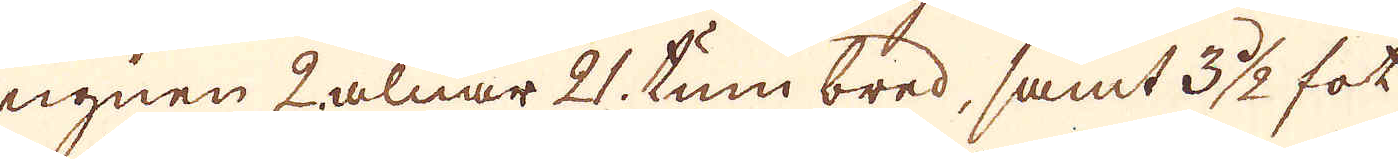ugnen 2 alnar 21. tum bred, samt 3 1/2 fot
